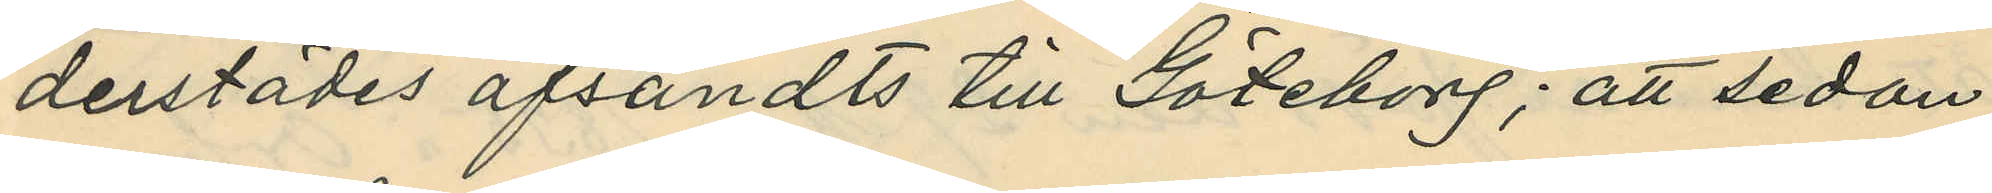derstädes afsändts till Göteborg; att sedan
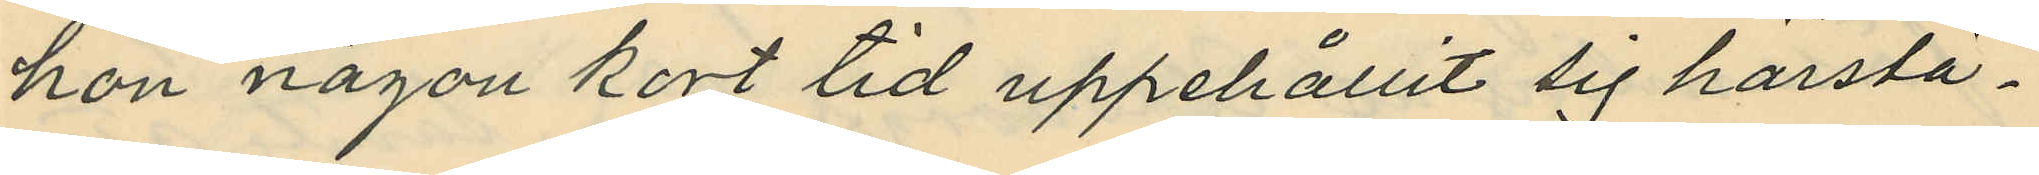hon någon kort tid uppehållit sig härstä¬
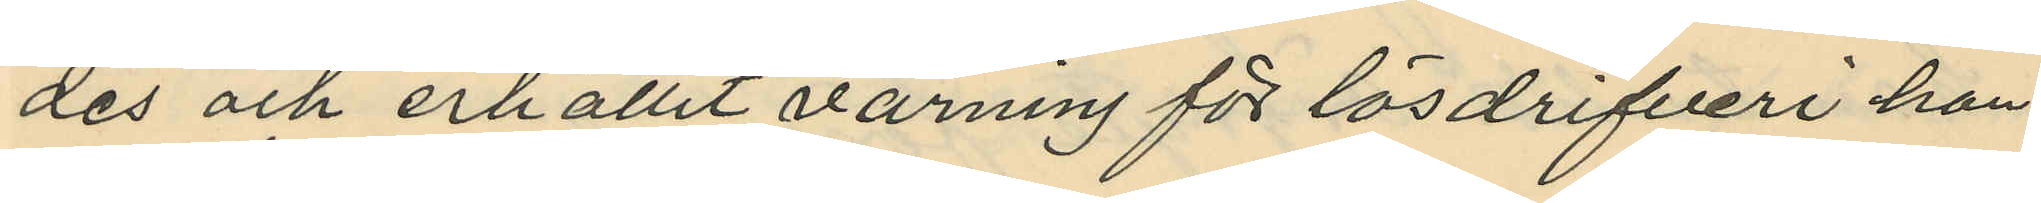des och erhållit varning för lösdrifveri hon
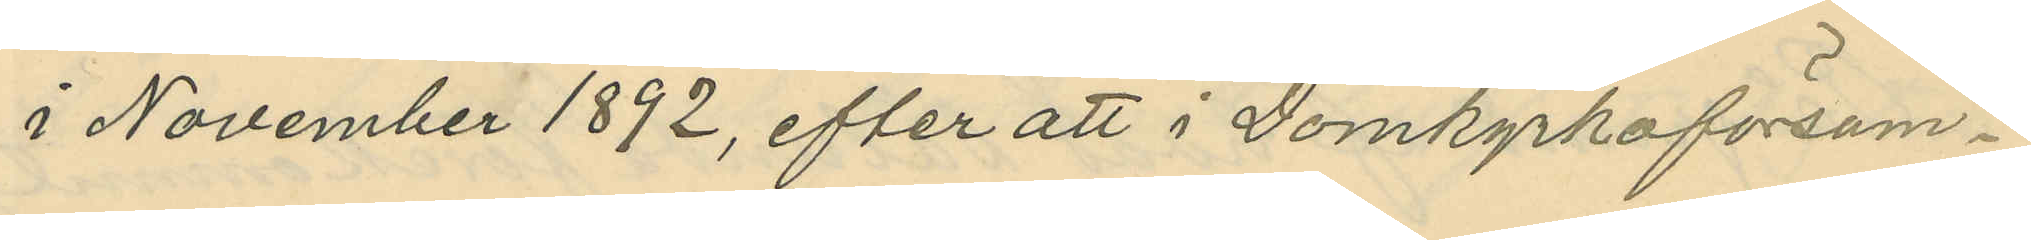i November 1892, efter att i Domkyrkoförsam¬
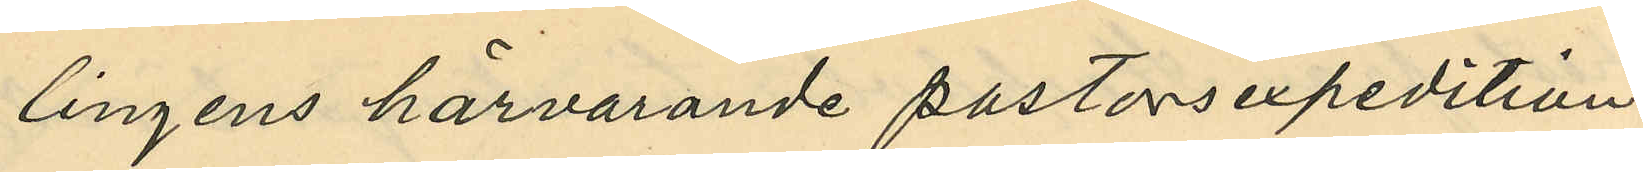lingens härvarande pastorsexpedition
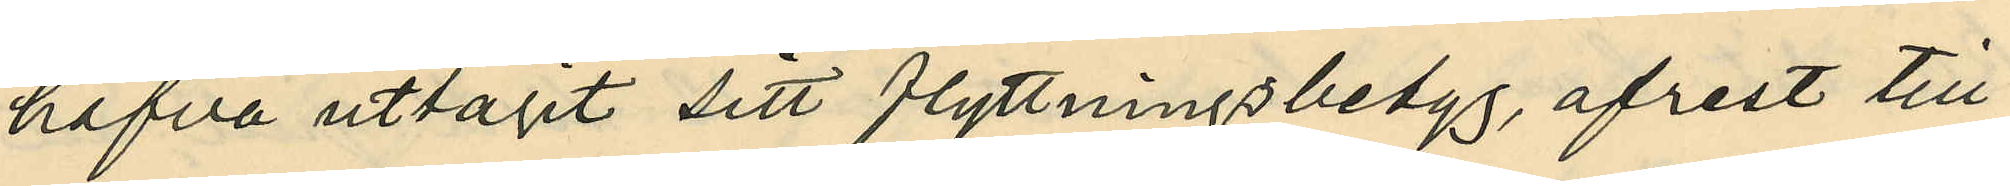hafva uttagit sitt flyttningsbetyg, afrest till
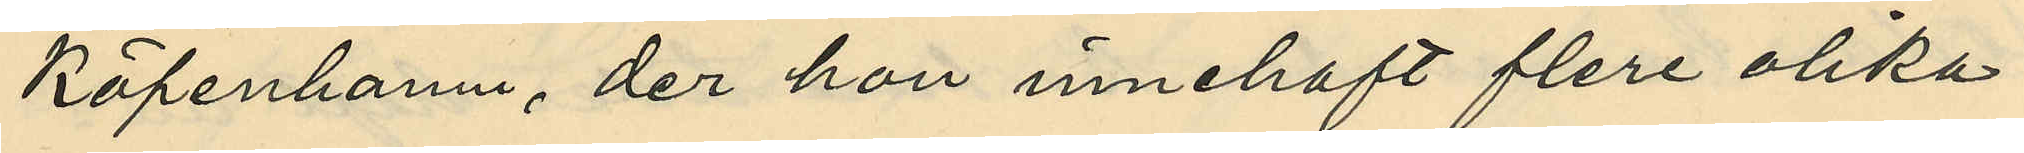Köpenhamn, der hon innehaft flera olika
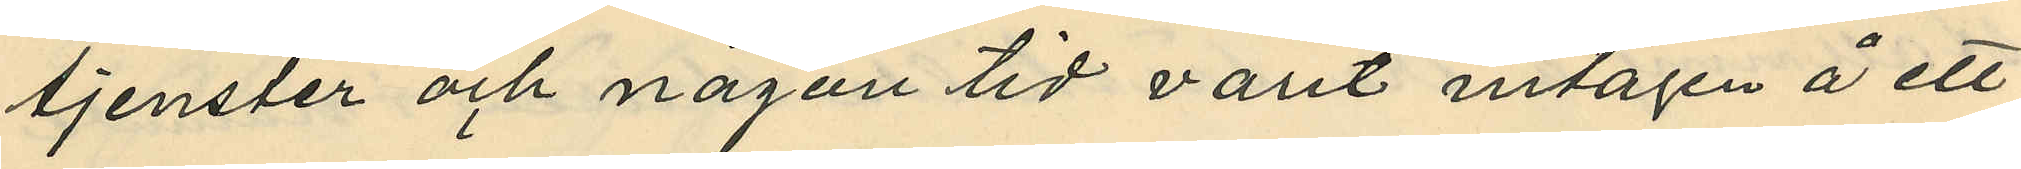tjenster och någon tid varit intagen å ett
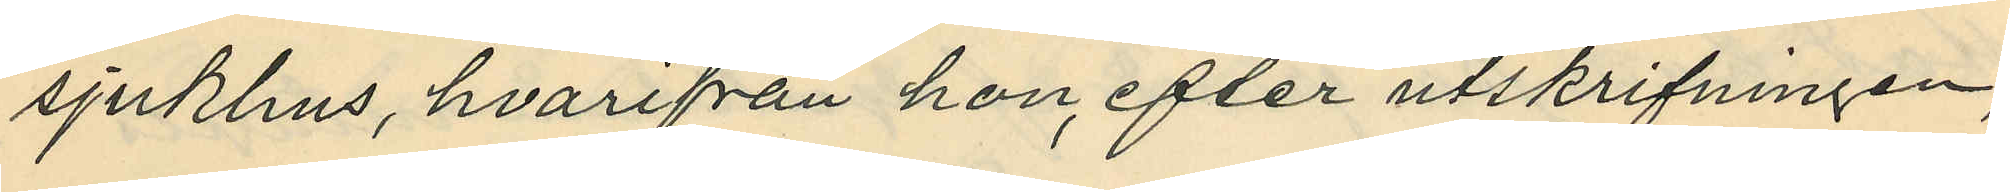sjukhus, hvarifrån hon efter utskrifningen,
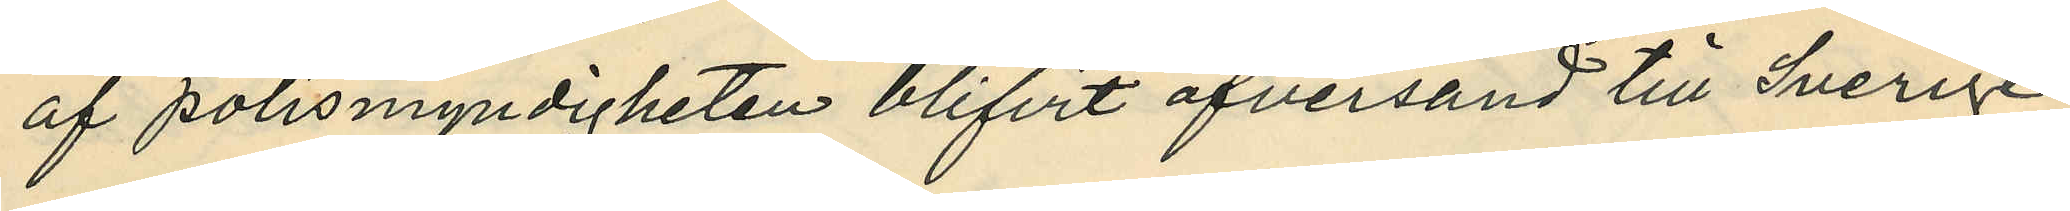af polismyndigheten blifvit öfversänd till Sverige
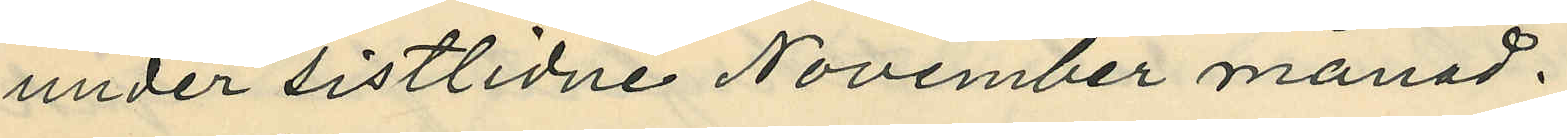under sistlidne November månad.
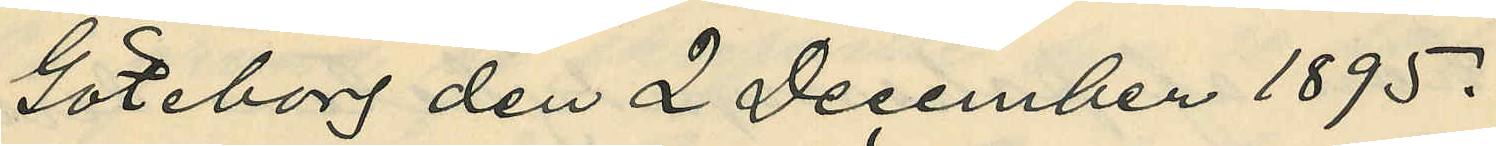Göteborg den 2 December 1895.
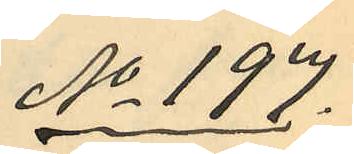No 197.
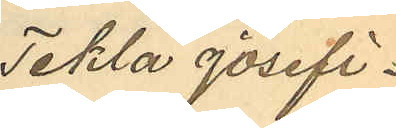Tekla Josefi¬
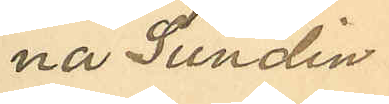na Sundin
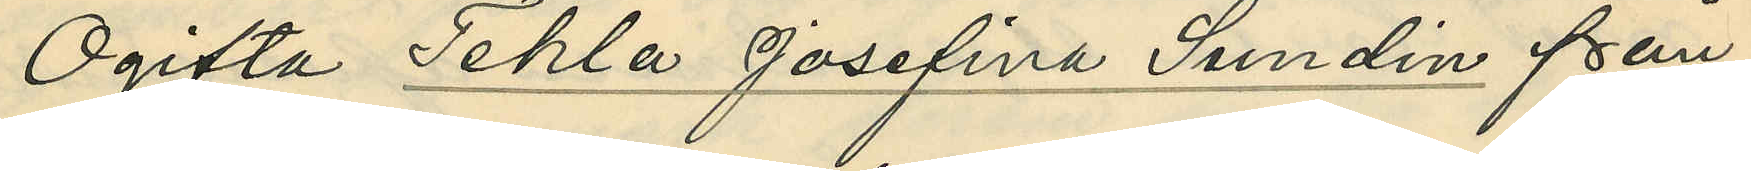Ogifta Tekla Josefina Sundin från
